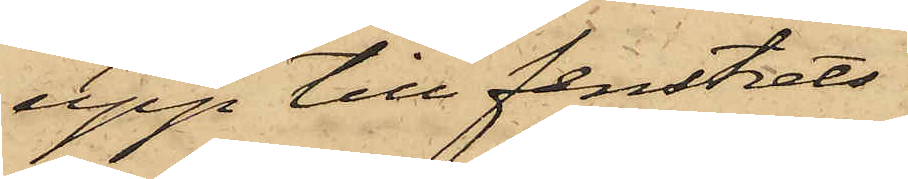upp till fenstrets
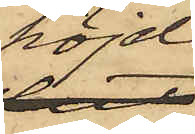höjd;
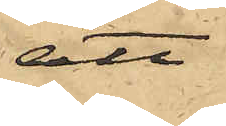att
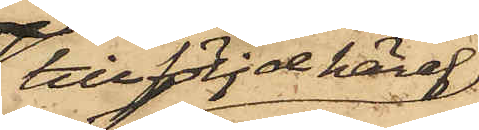till följd häraf
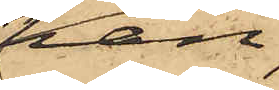han,
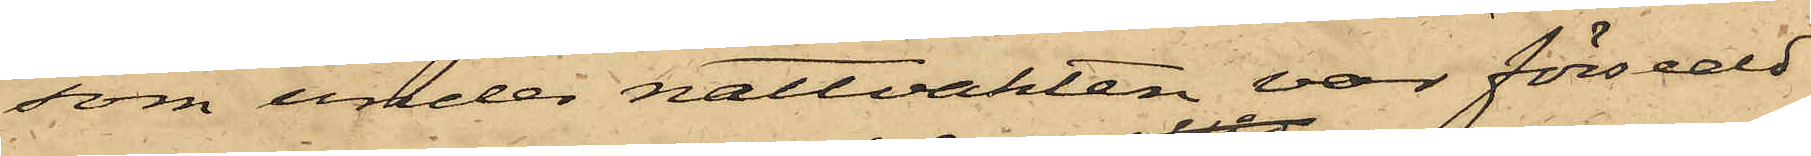som under nattvakten var försedd
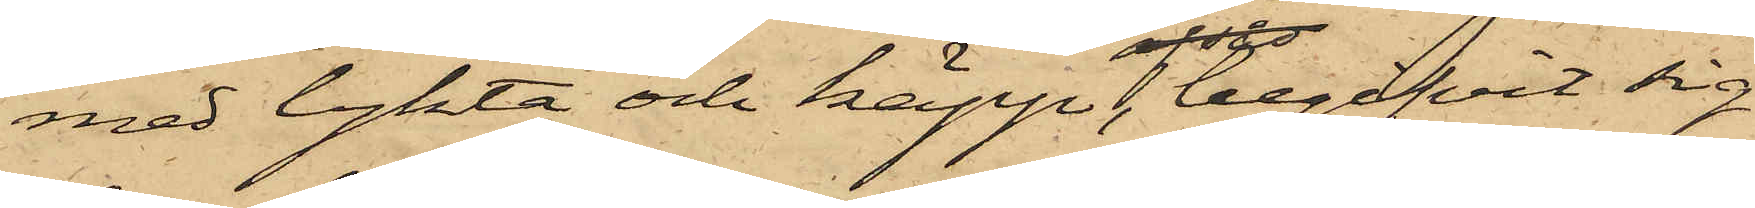med lykta och käpp, begifvit sig
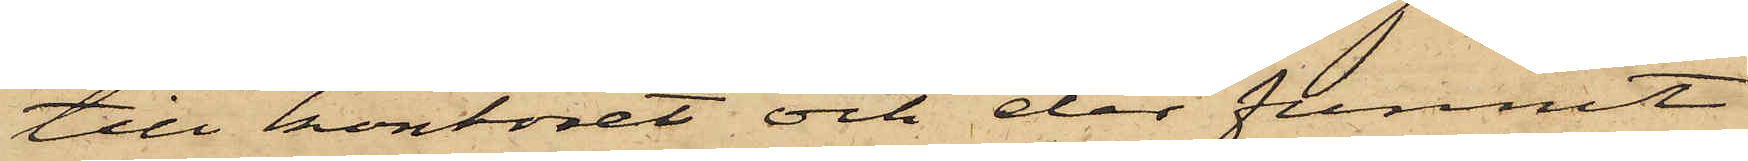till kontoret och der funnit
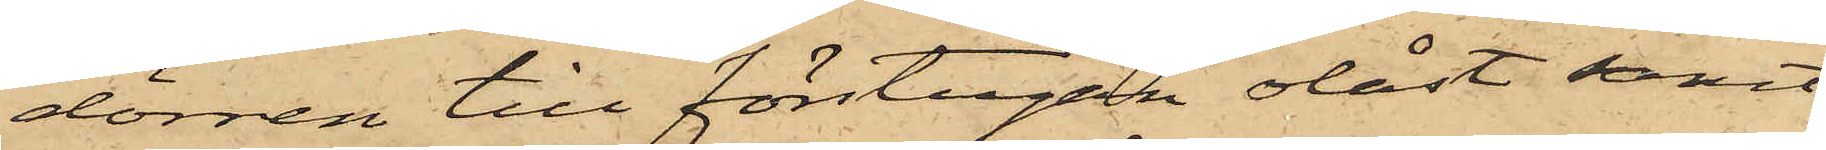dörren till förstugan olåst samt
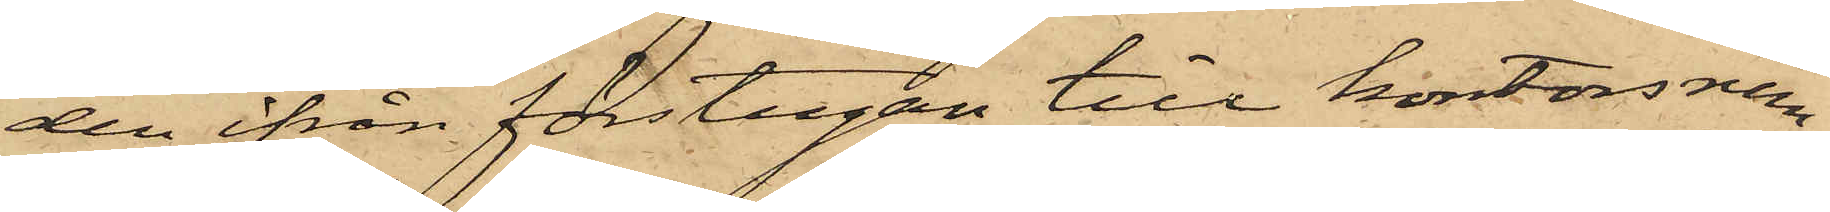den ifrån förstugan till kontorsrum¬
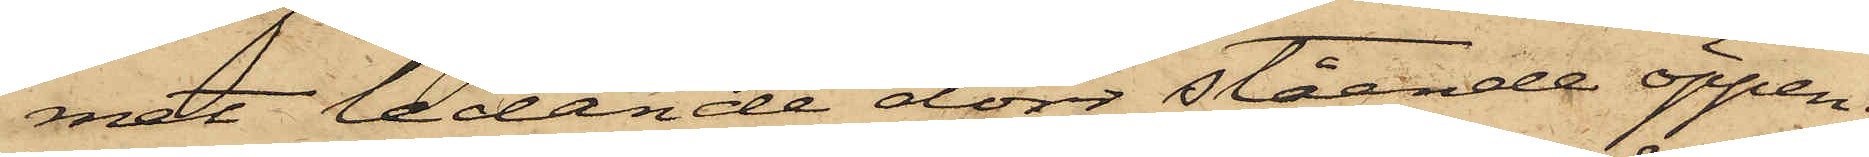met ledande dörr stående öppen;
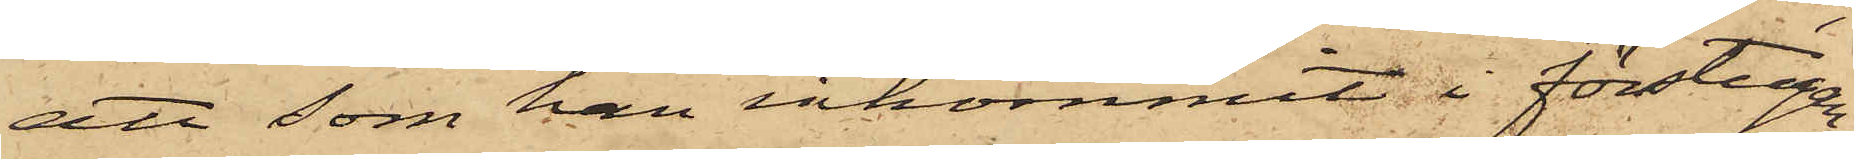att som han inkommit i förstugen
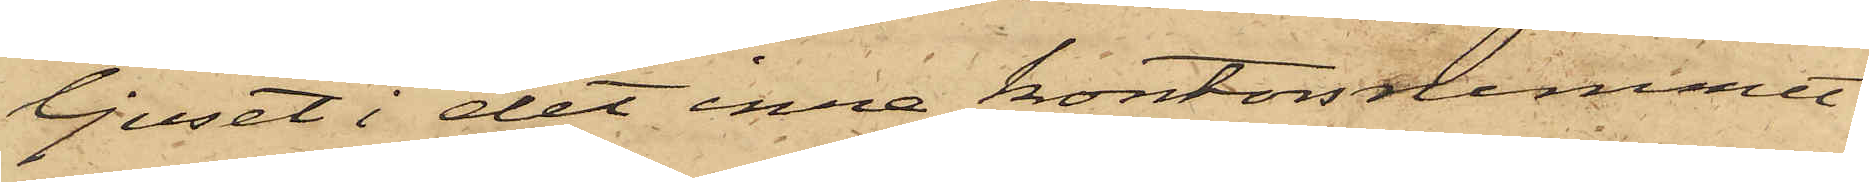ljuset i det inne kontorsrummet
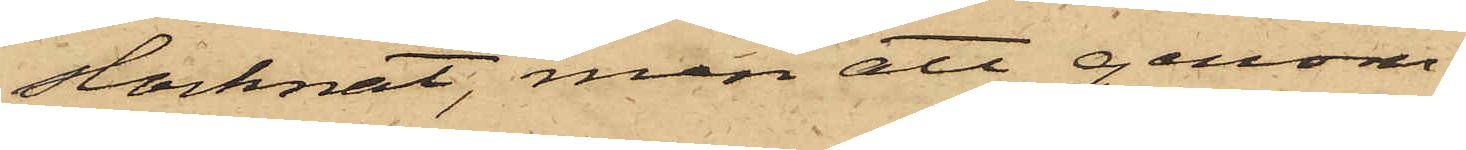slocknat, men att genom
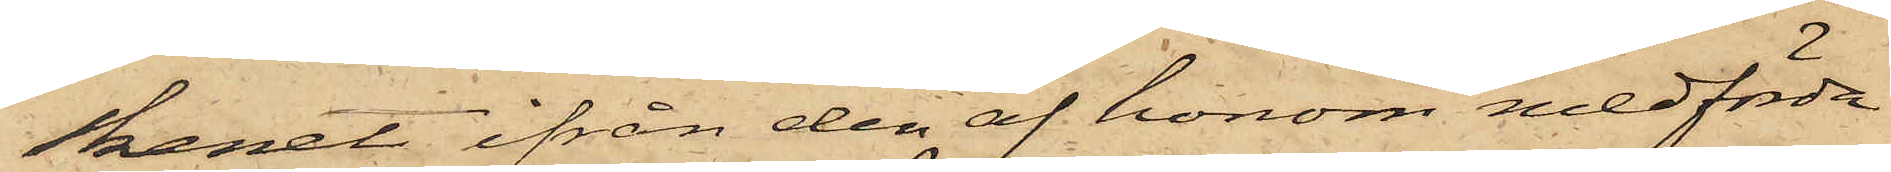skenet ifrån den af honom medförda
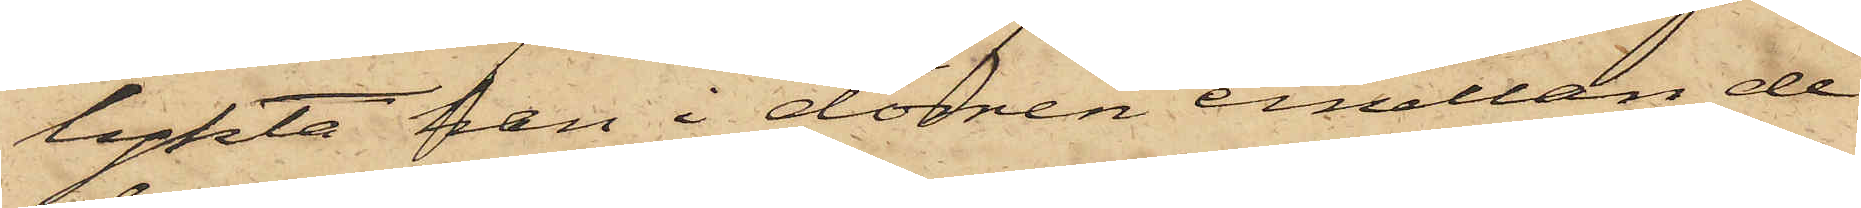lykta han i dörren emellan de
